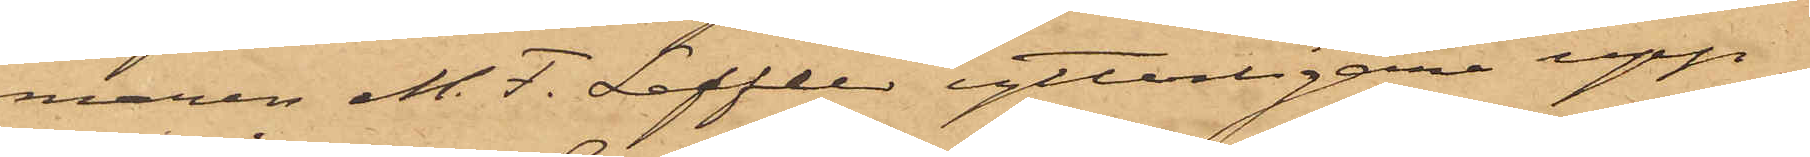maren M. F. Leffler ytterligare upp¬
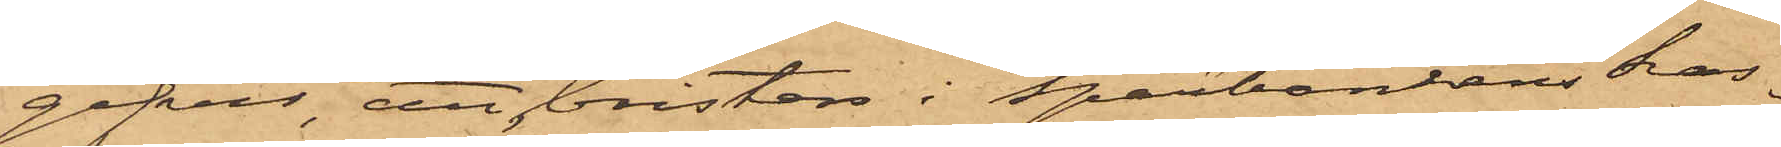gifvit, att bristen i Sparbankens kas¬
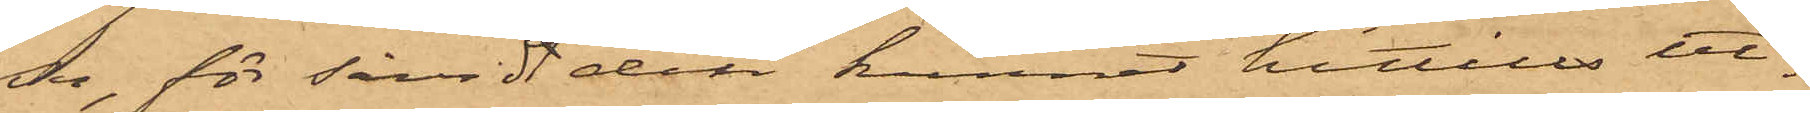sa, för såvidt det kunnat hittills ut¬
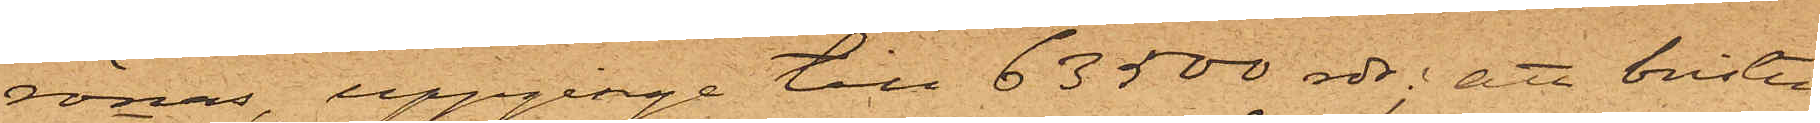rönas, uppginge till 63500 rdr; att bristen
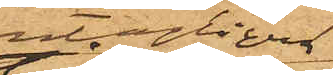antagligen
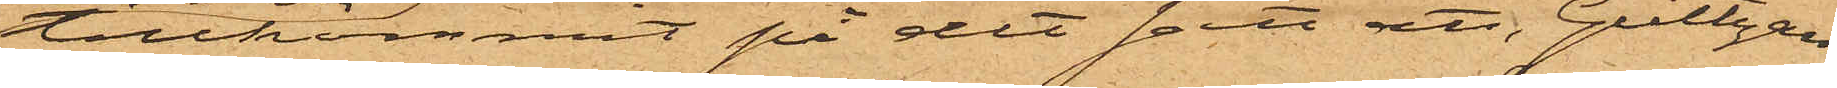tillkommit på det sätt att, Gültzau
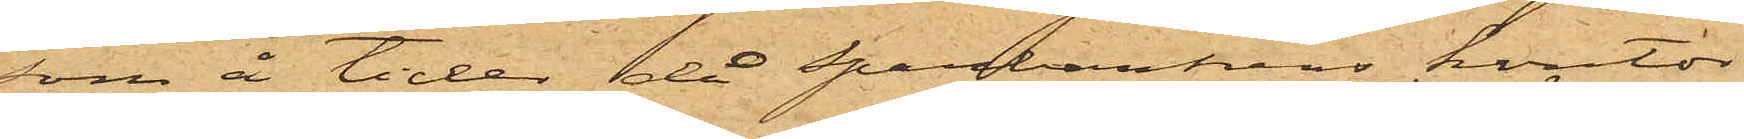som å tider då Sparbankens kontor
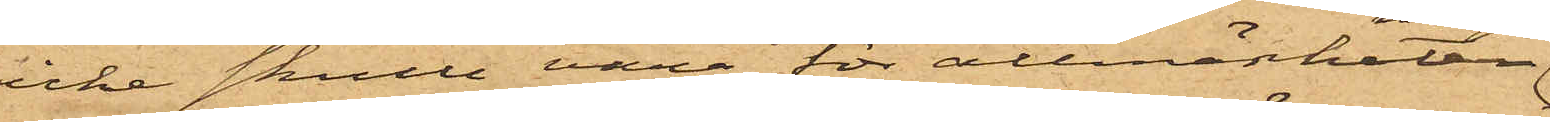icke skulle vara för allmänheten
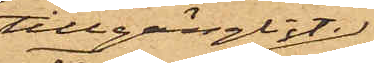tillgängligt,
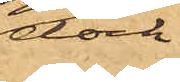dock
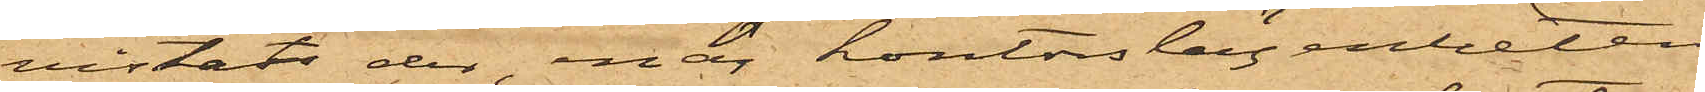vistats der, enär kontorslägenheten
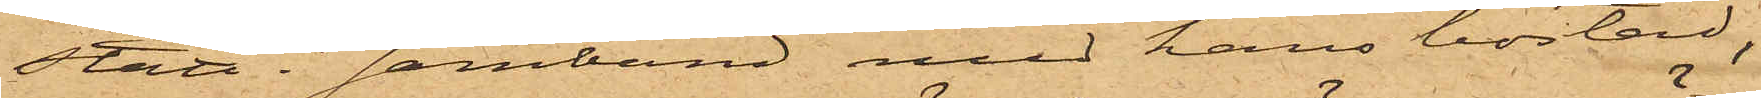stått i samband med hans bostad,
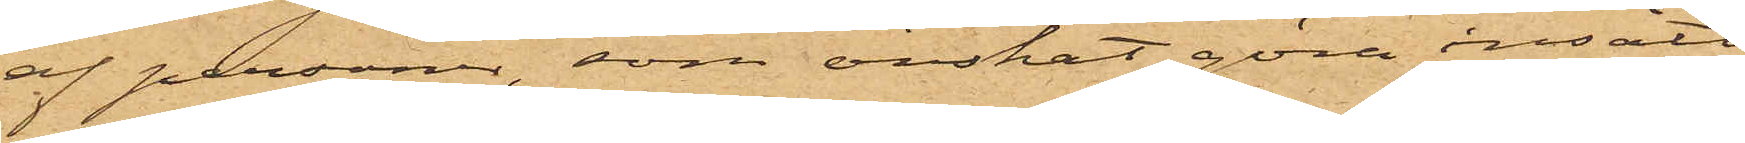af personer, som önskat göra insätt¬
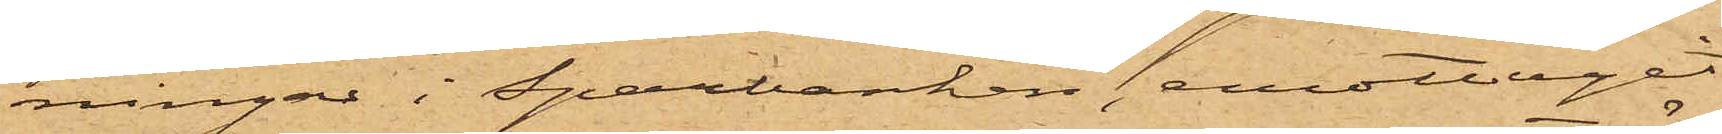ningar i Sparbanken, emottagit
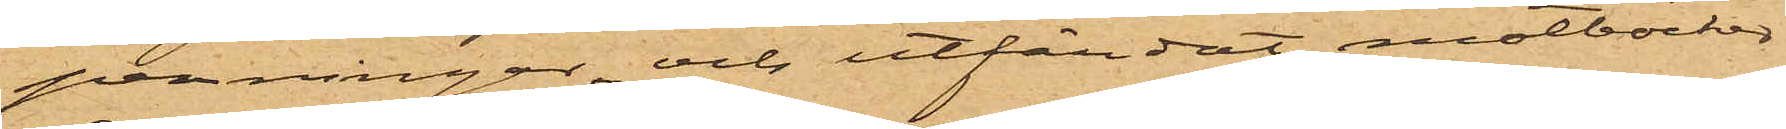penningar, och utfärdat motböcker
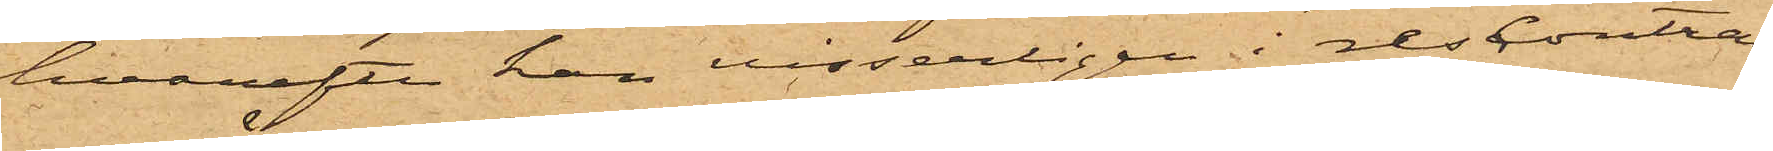hvarefter han visserligen i rescontran
